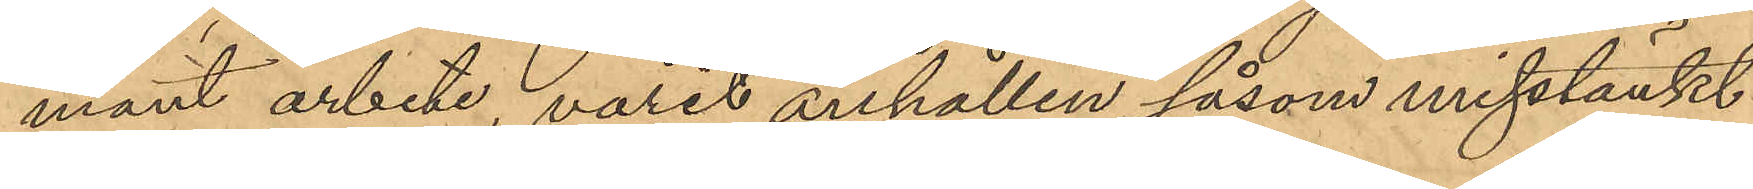mänt arbete, varit anhållen såsom misstänkt
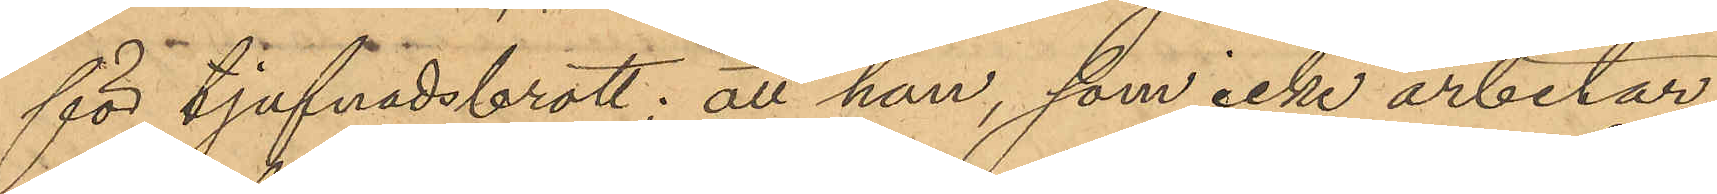för tjufnadsbrott; att han, som icke arbetar,
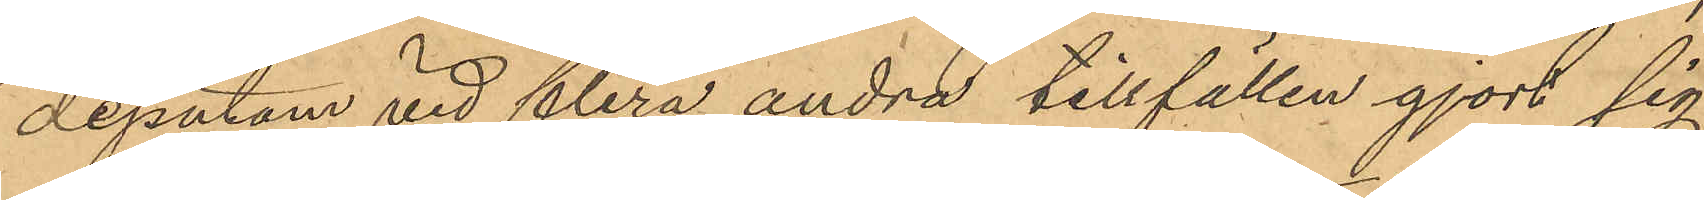dessutom vid flera andra tillfällen gjort sig
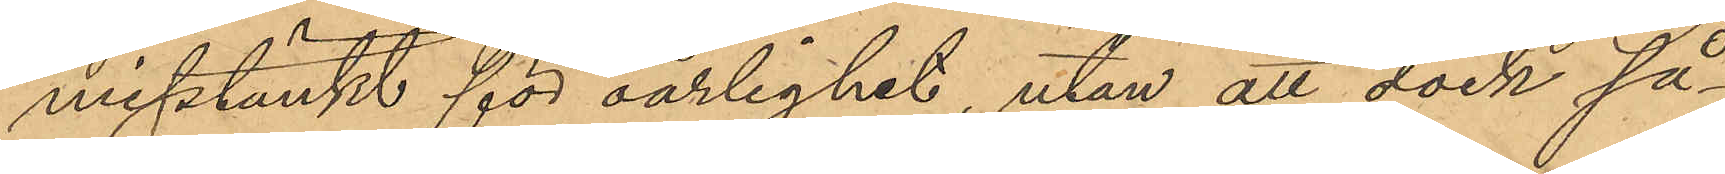misstänkt för oärlighet, utan att dock så¬
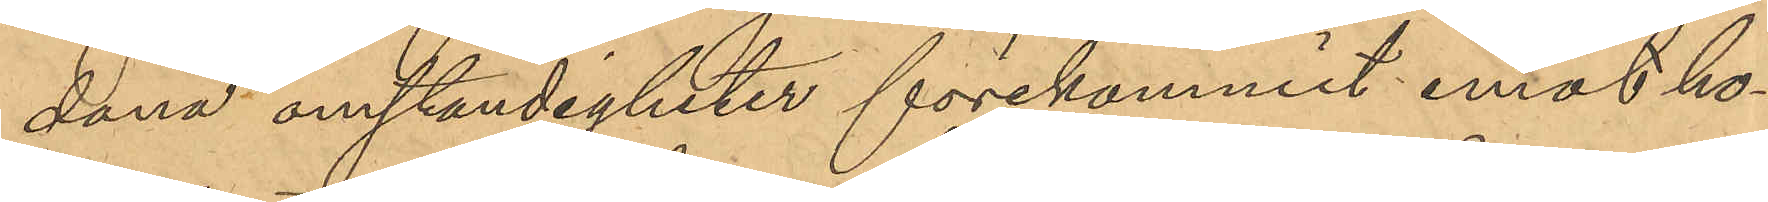dana omständigheter förekommit emot ho¬
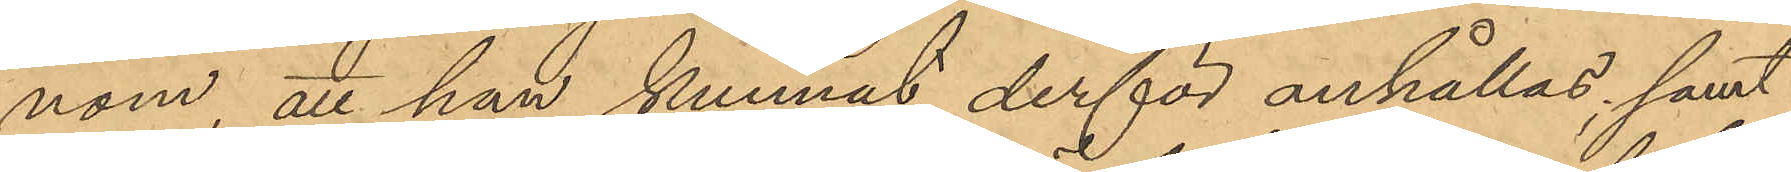nom, att han kunnat derför anhållas; samt
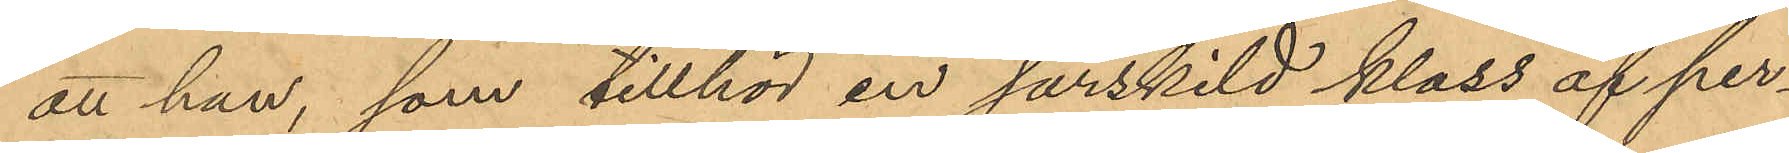att han, som tillhör en särskild klass af per¬
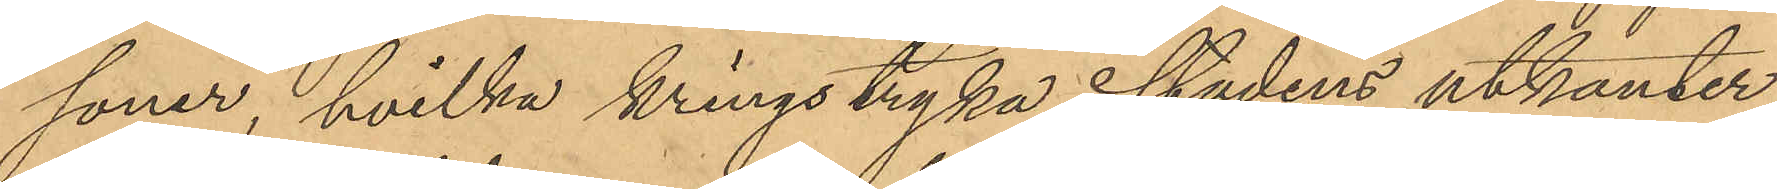soner, hvilka kringstryka i stadens utkanter
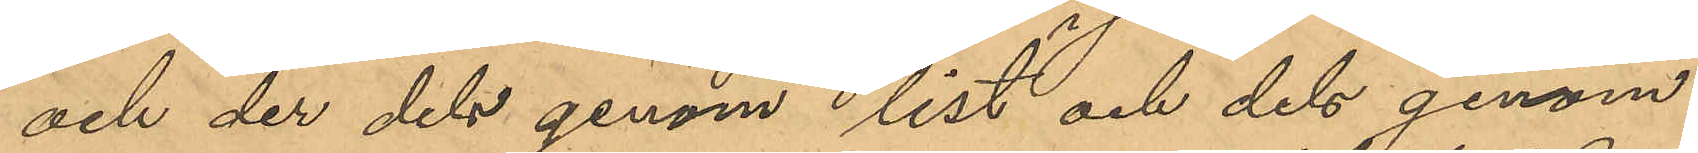och der dels genom list och dels genom
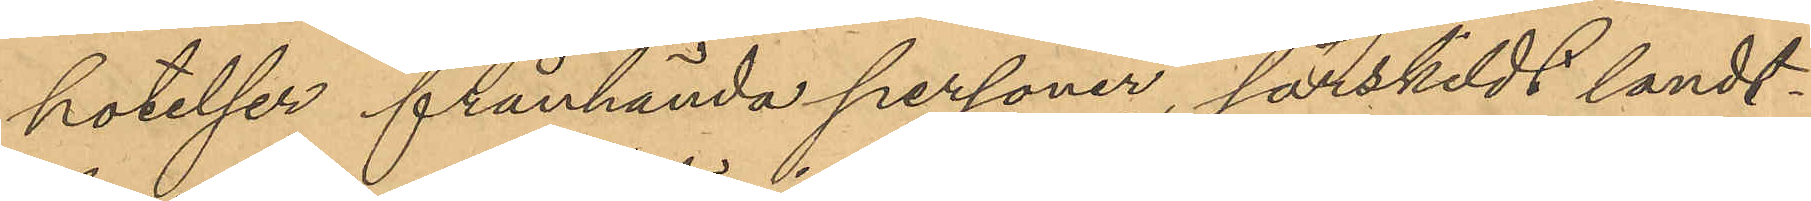hotelser frånhända personer, särskildt landt¬
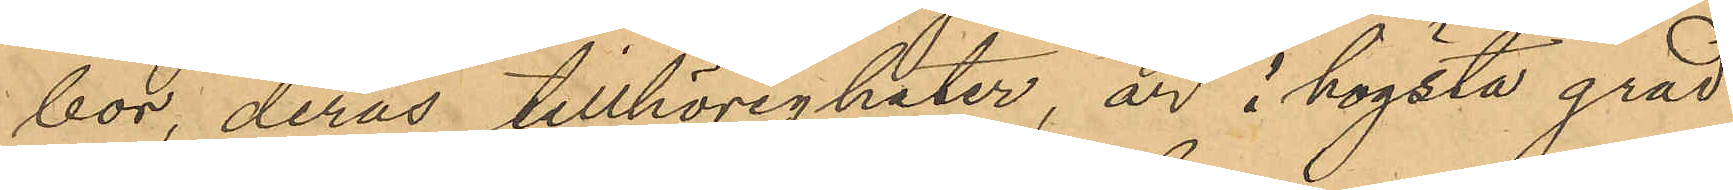bor, deras tillhörigheter, är i högsta grad
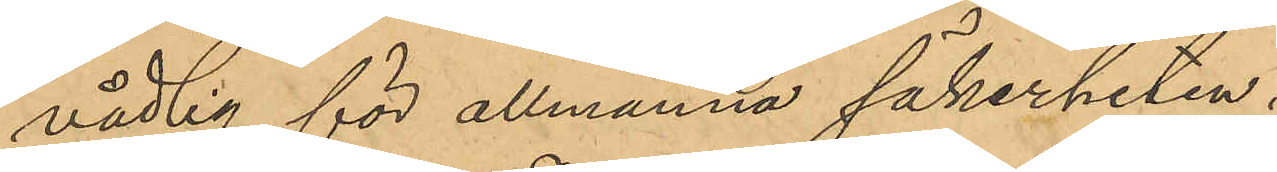vådlig för allmänna säkerheten.
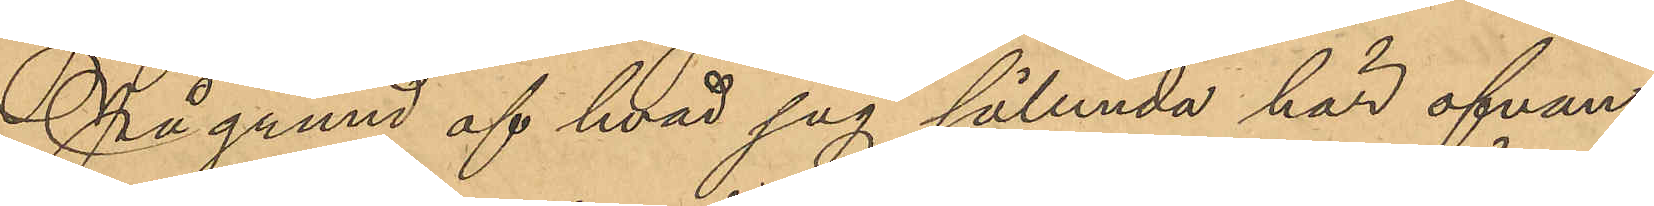På grund af hvad jag sålunda här ofvan
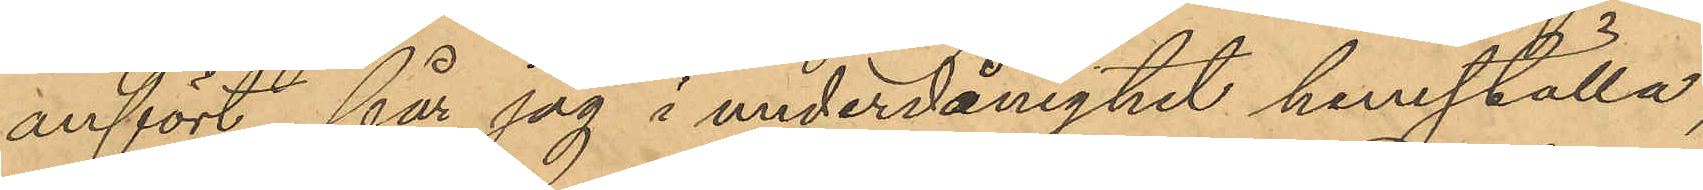anfört, får jag i underdånighet hemställa,
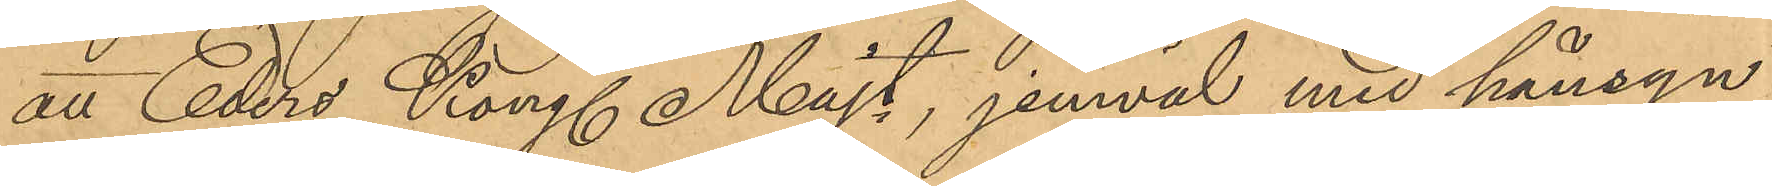att Eders Kongl Majt, jemväl med hänsyn
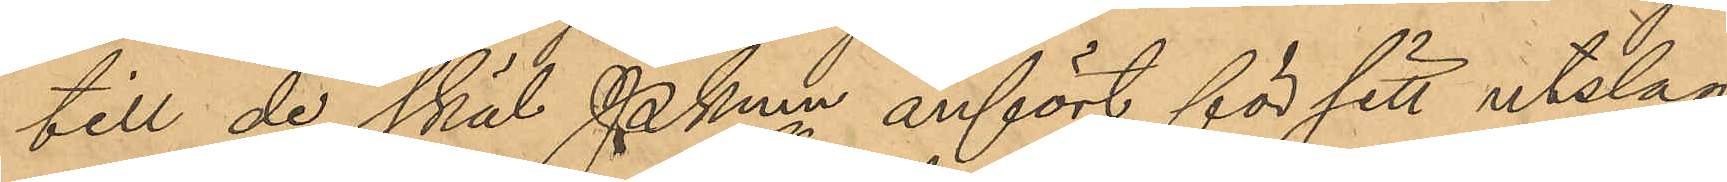till de skäl Pkmn anfört för sitt utslag,
